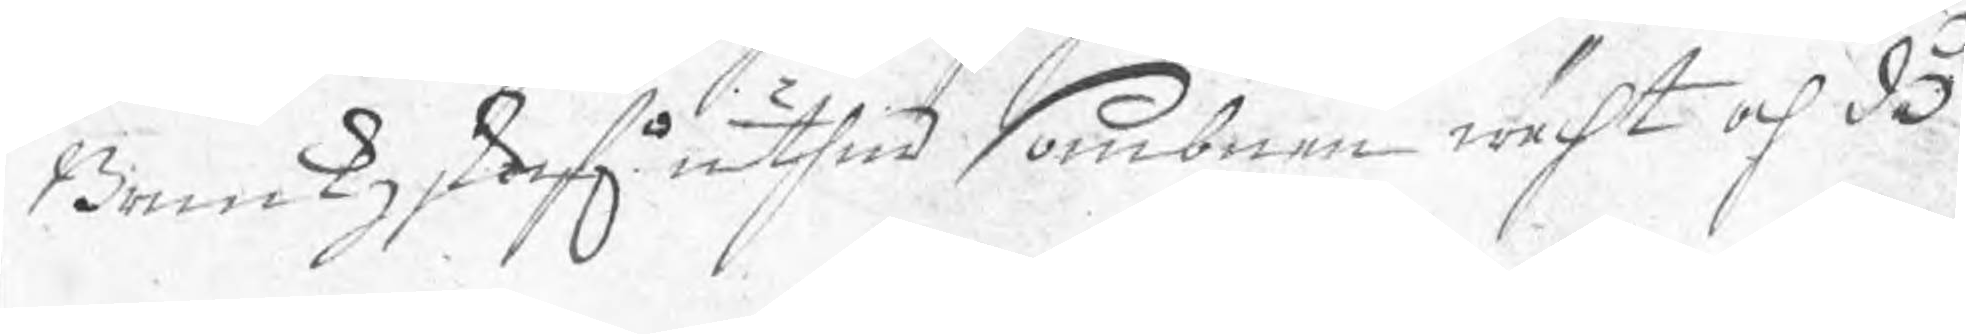Bruukzskrifn uthur sombnen wächt och do
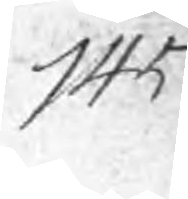145
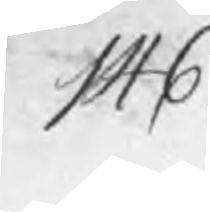146
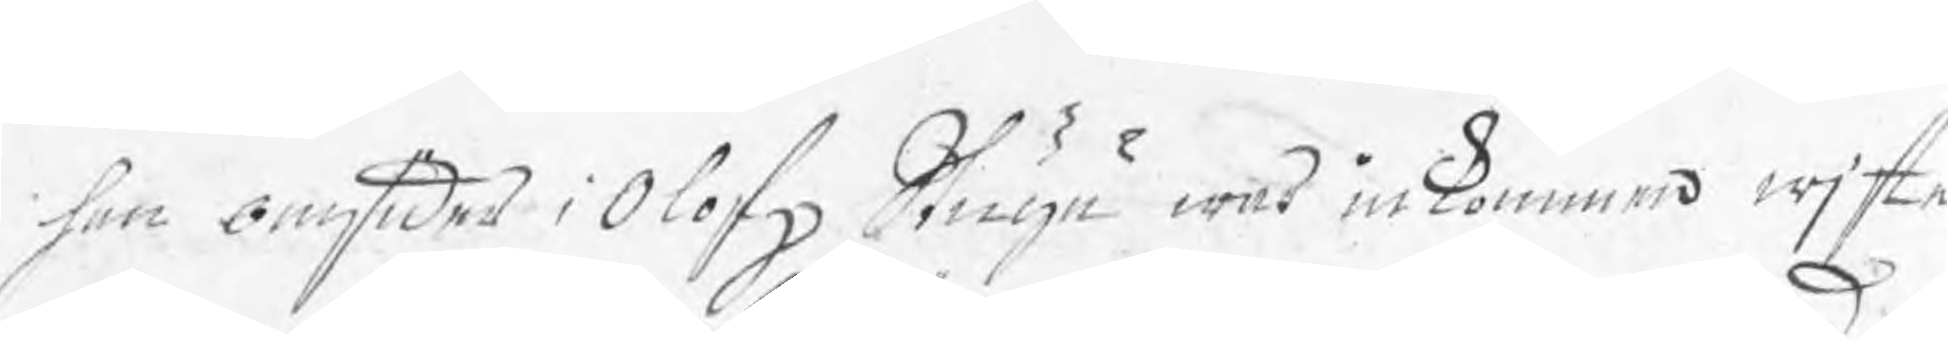han omsider i Olofz Stugu war inkommen wjste
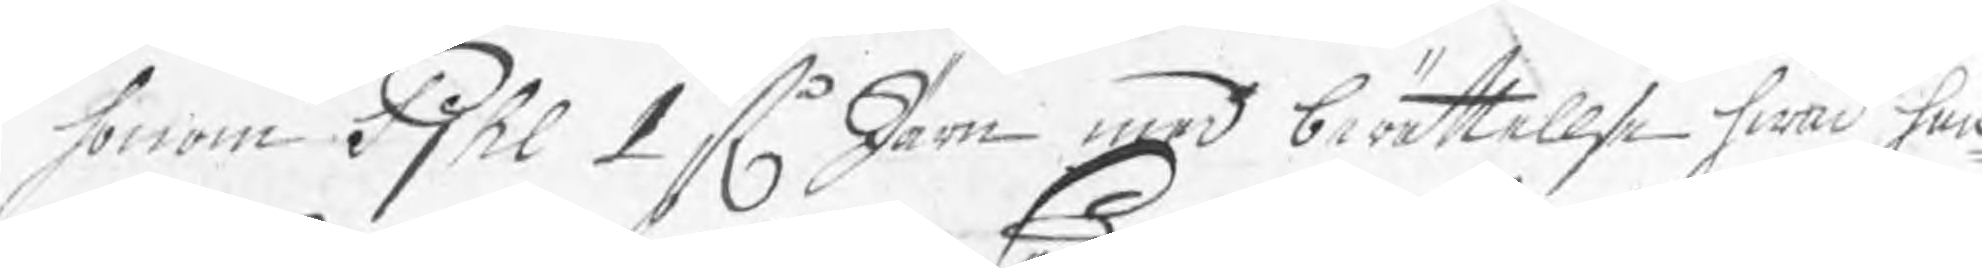honom Pjhl 1 st Järn med berättelse hwad ha
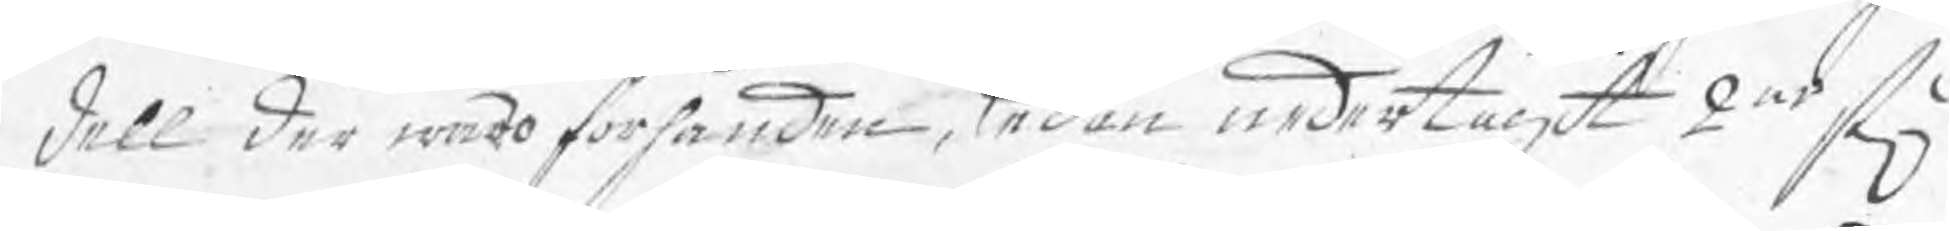dell der woro förhanden, Sedan nedertagit 2ne st
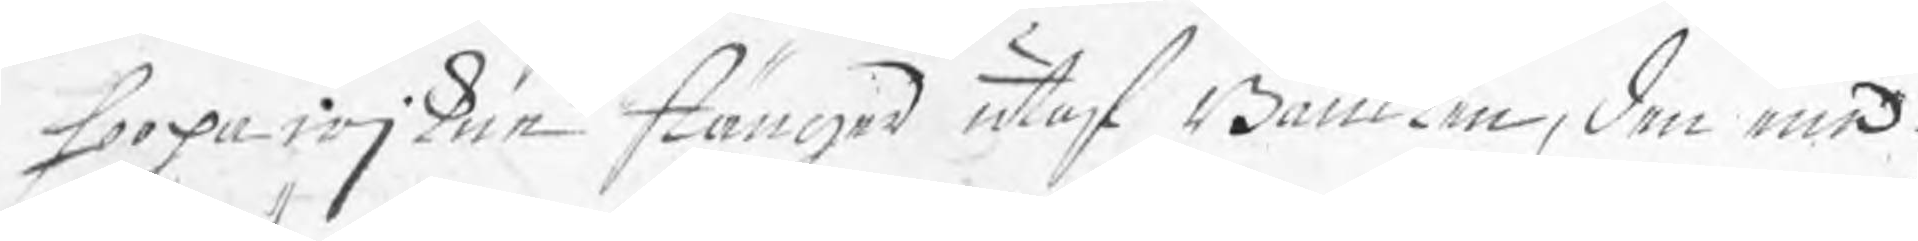hoopawjkne stänger utaf Bäncken, den ena
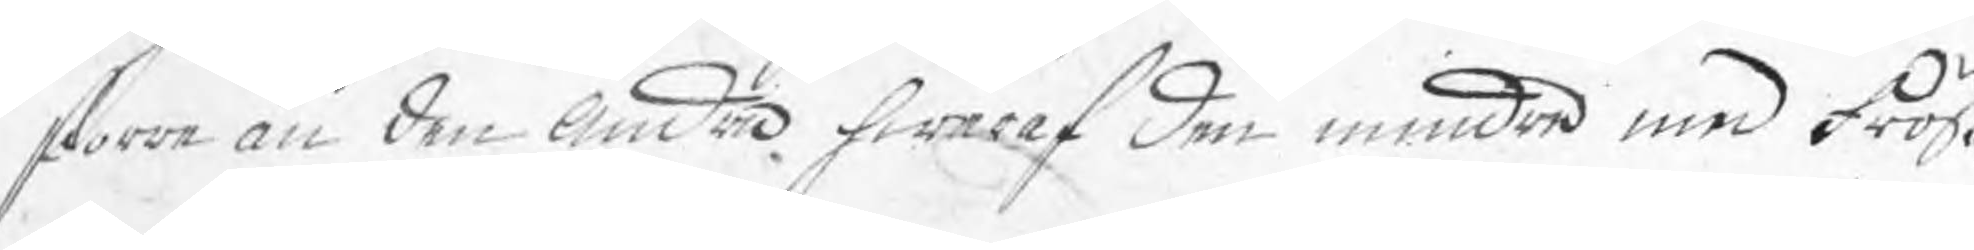storre än den andra hwaraf den mindre med Fröß¬
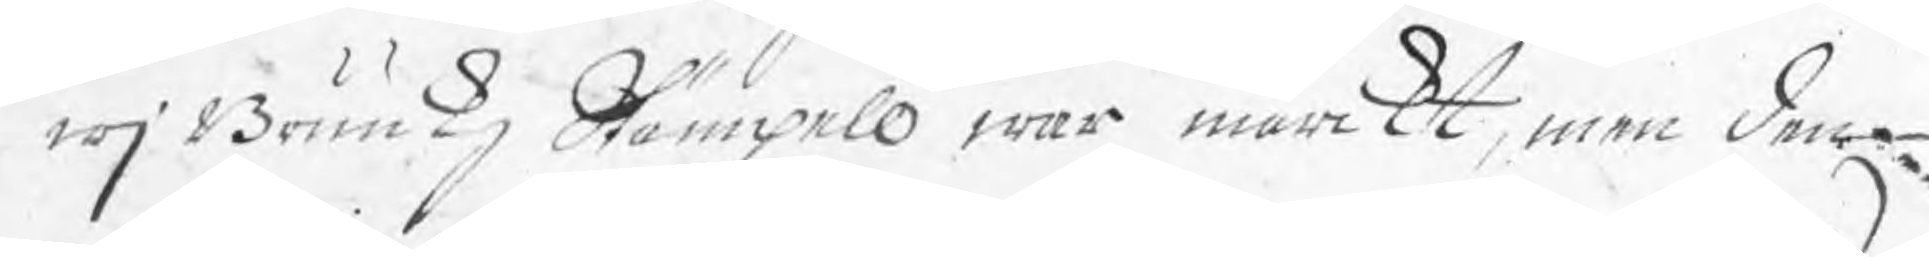wj Brukkz Stämpell war märckt, men den
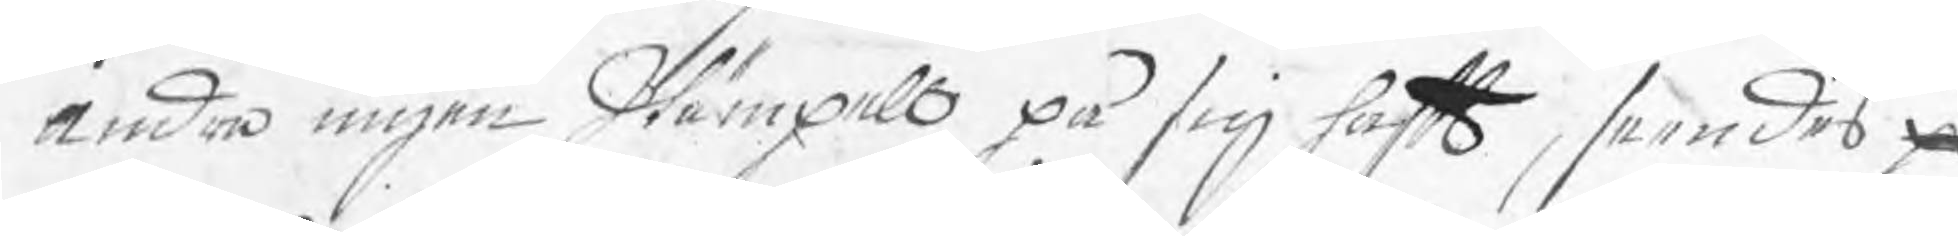andra ingen Stämpell på sig haft, seendes ¬
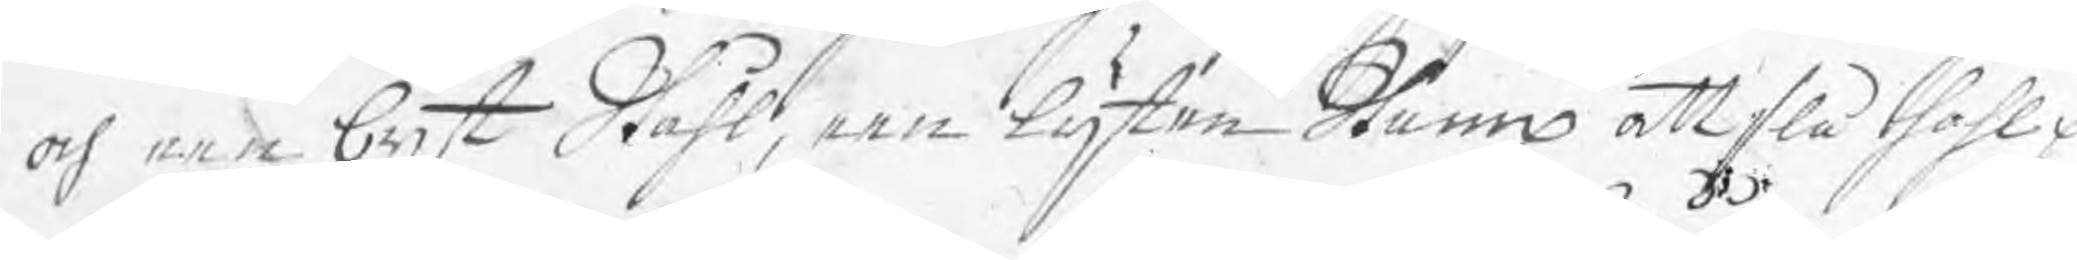och een bijt Ståhl, een lijten Stump att slå hohl p
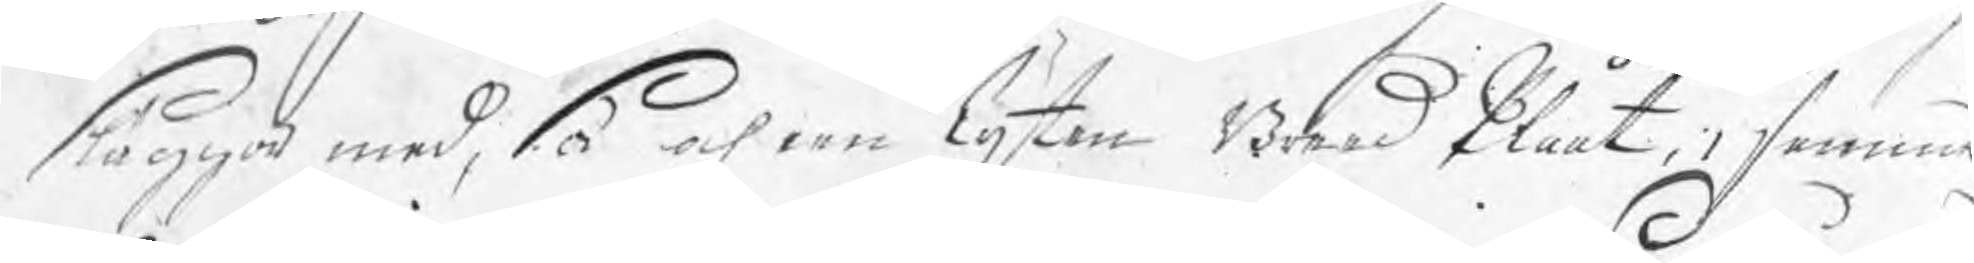släggor med, så och een lijten Breed Plååt, i samma
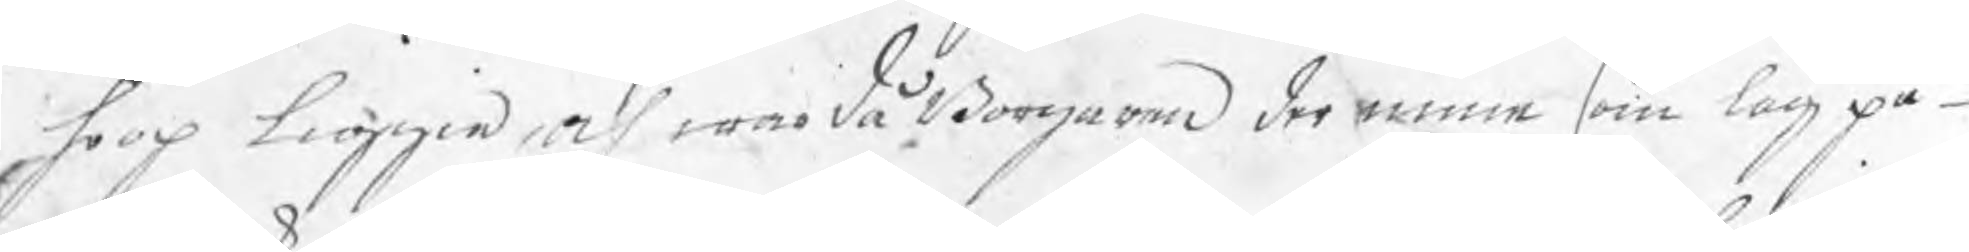hoop liggia, och war då Borgaren der inne som låg på
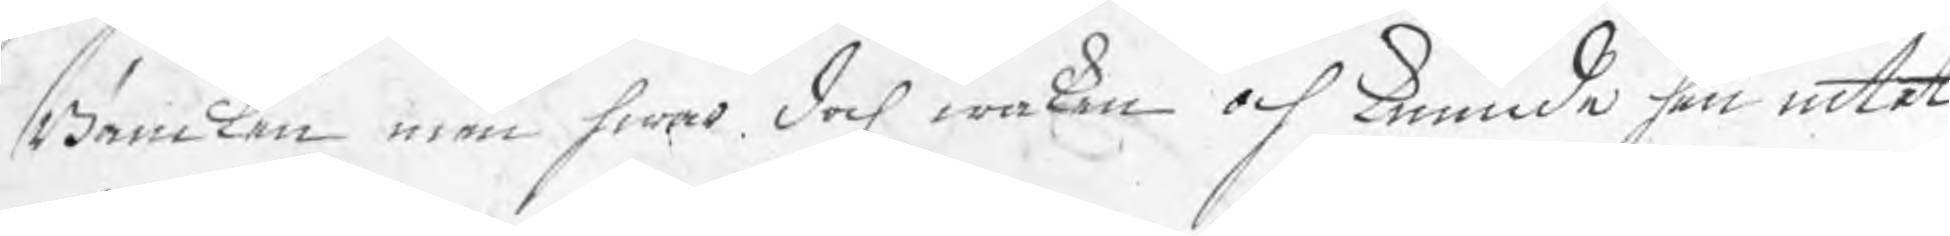Bäncken men hwar doch waken och kunnde han intet
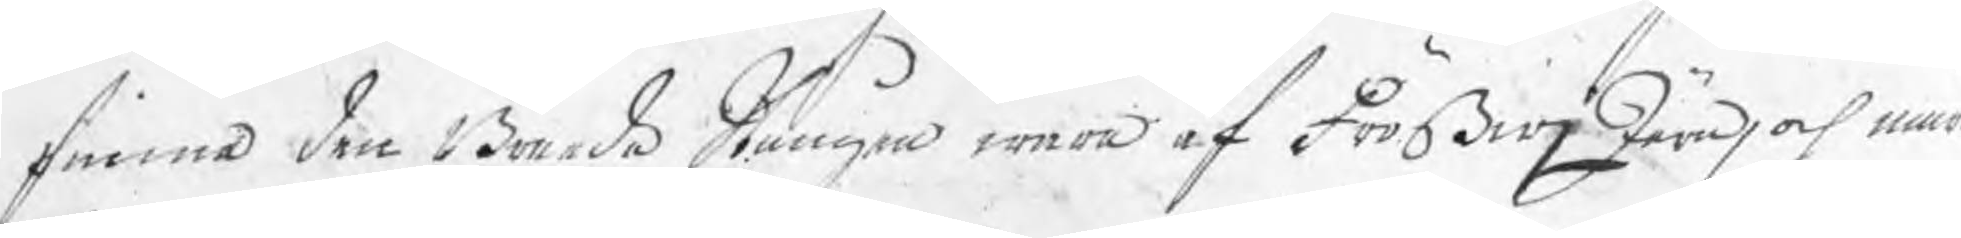finna den Breeda Stången wara af FrößwjJärn, och näm
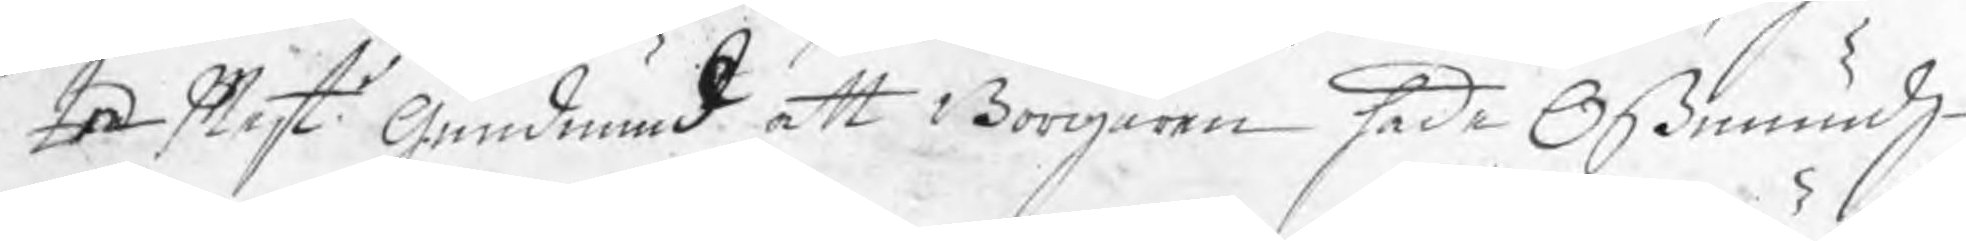In Mest Gundmund att Borgaren hade Oßmundz¬
